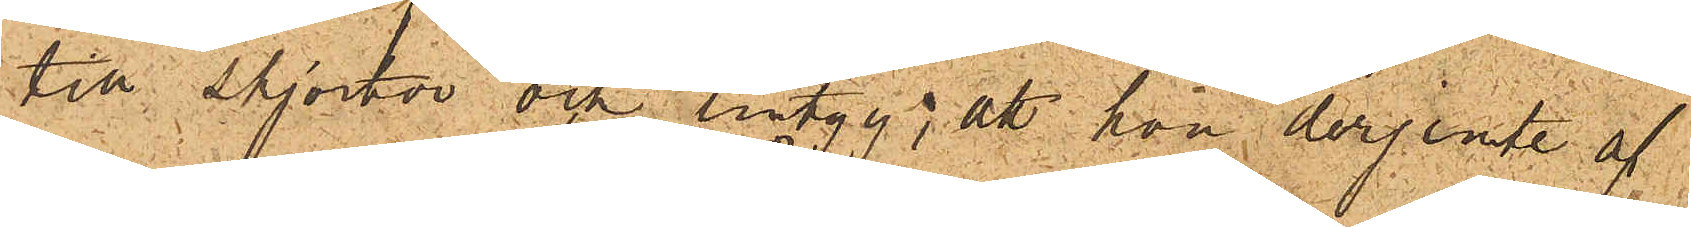till skjortor och lintyg; att hon derjemte af
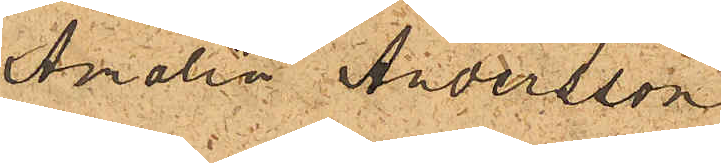Amalia Andersson
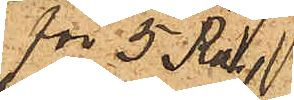för 5 Rdr
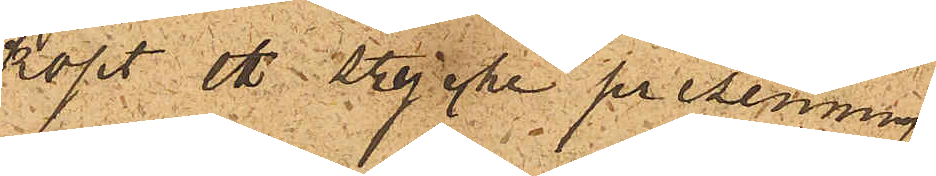köpt ett stycke presenning,
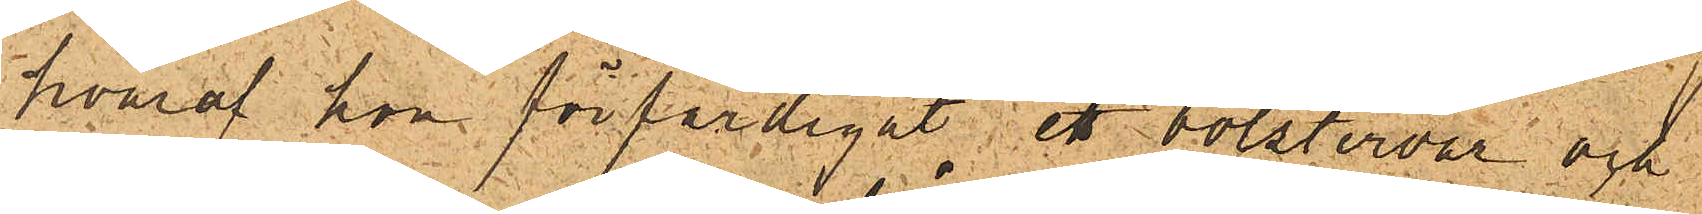hvaraf hon förfärdigat ett bolstervar och
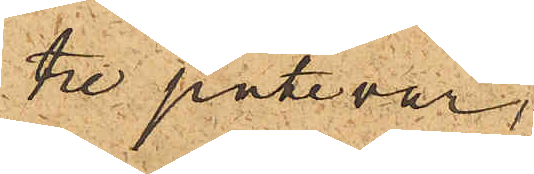tre putevar,
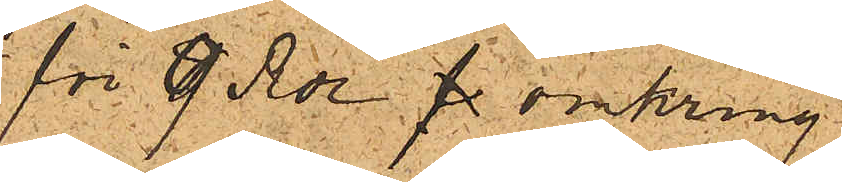för 9 Rdr fl. omkring
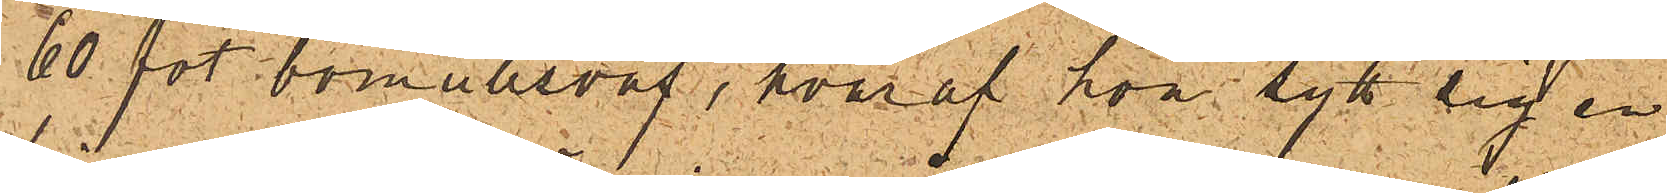60 fot bomullsväf, hvaraf hon sytt sig en
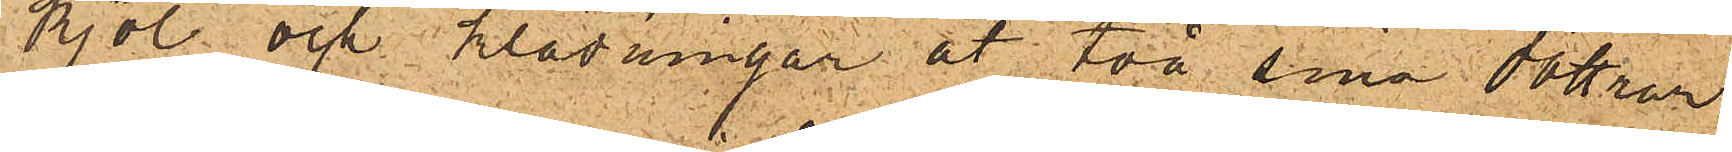kjol och klädningar åt två sina döttrar
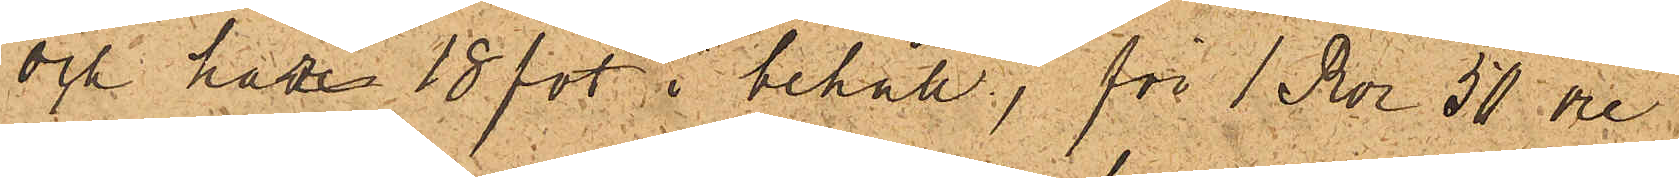och hade 18 fot i behåll; för 1 Rdr 50 öre
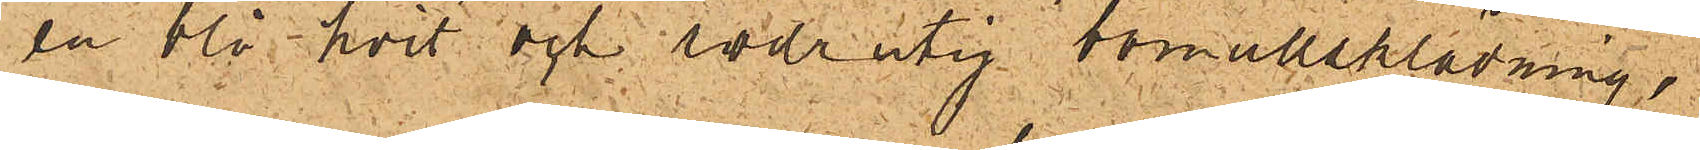en blå-hvit och rödrutig bomullsklädning,
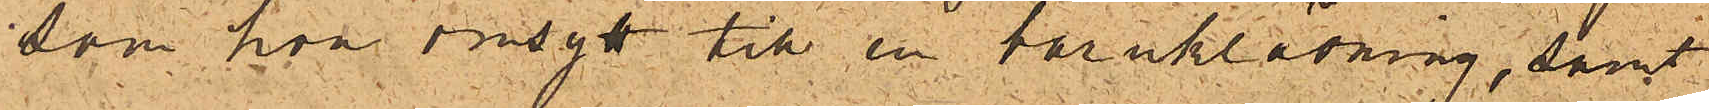som hon omsytt till en barnklädning, samt
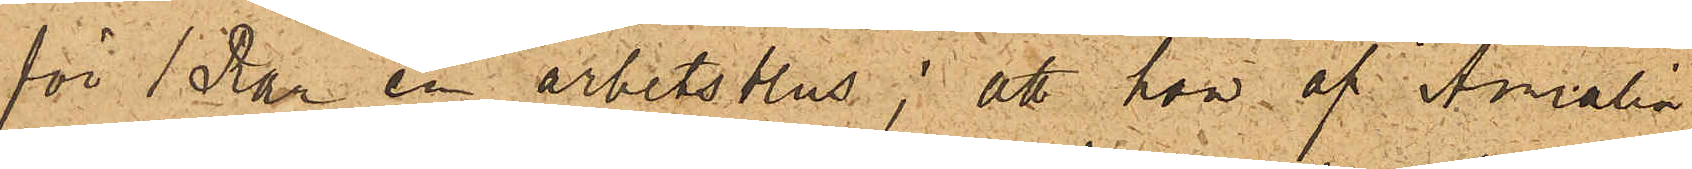för 1 Rdr en arbetsblus; att hon af Amalia
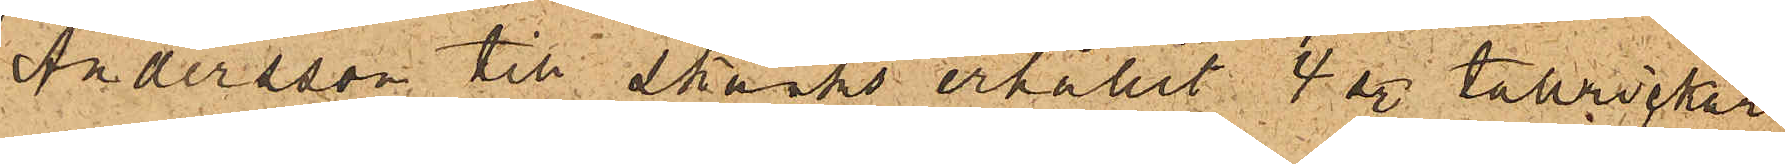Andersson till skänks erhållit 4 st tallrickar
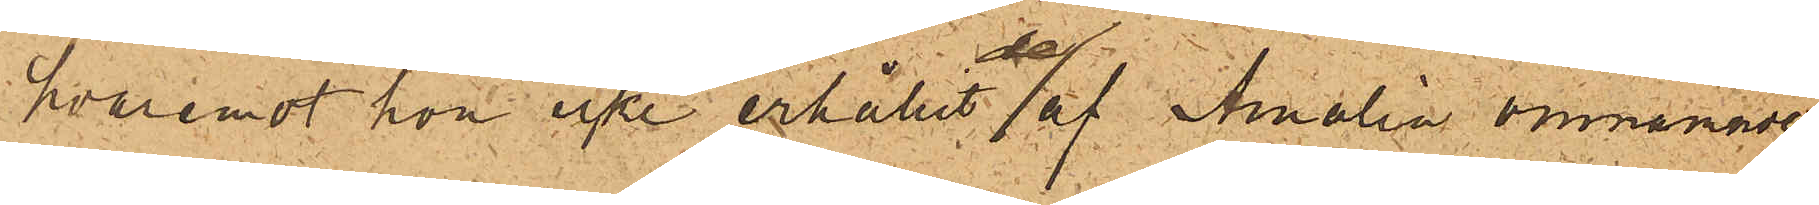hvaremot hon icke erhållit de af Amalia omnämnde
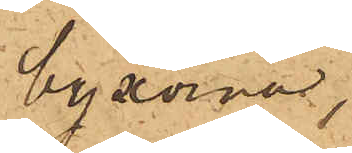byxorna,
